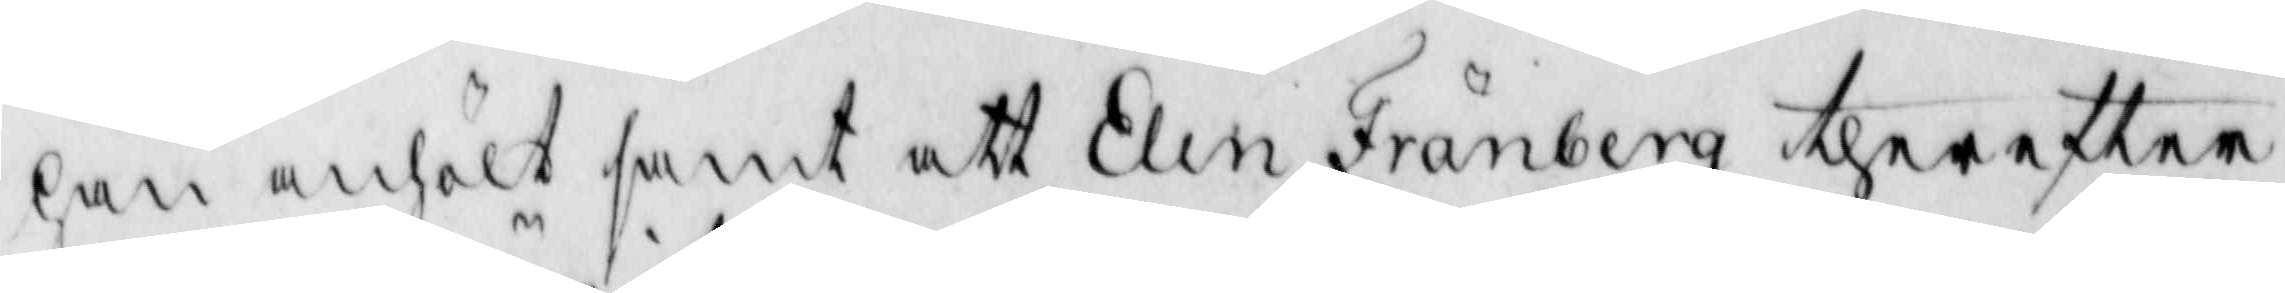han anhölt samt att Elin Fränberg therefter
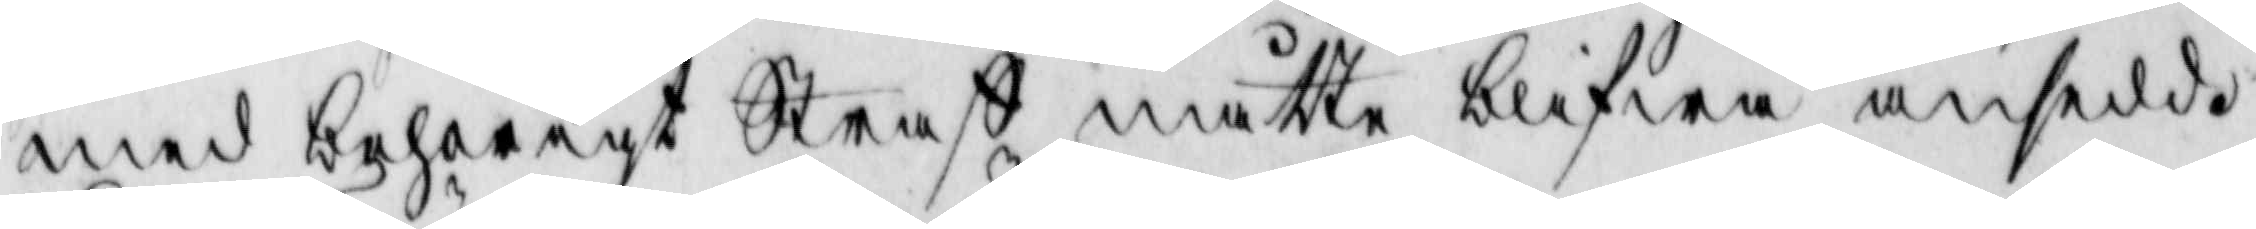med behörigt Straff måtte blifwa ansedd.
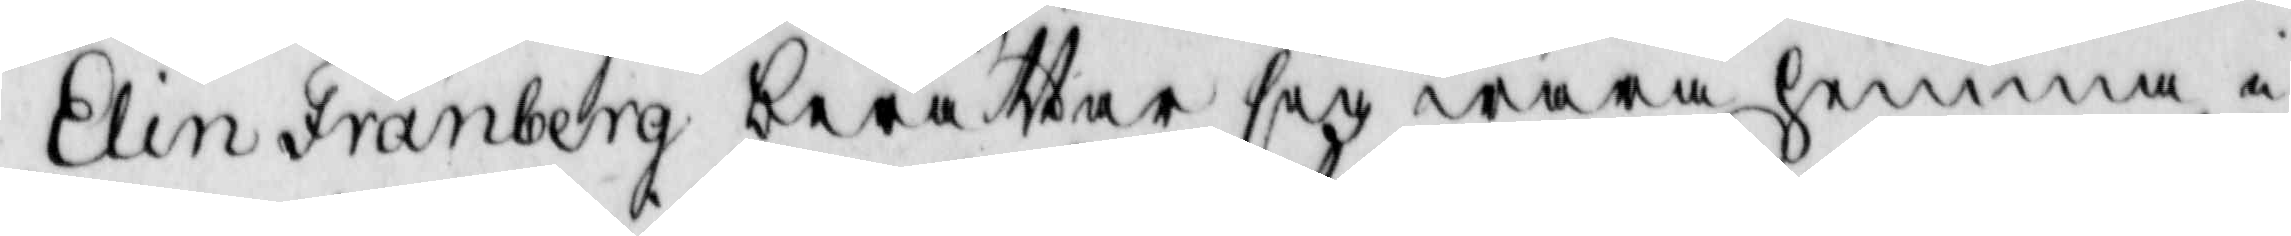Elin Fränberg berättar sig wara hemma i
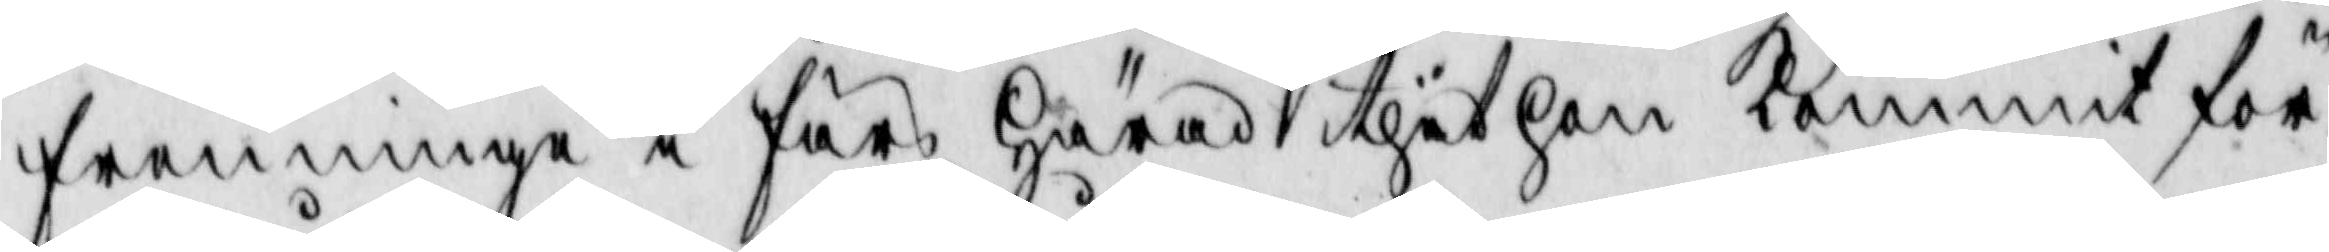fremminge i färs Härad thit hon kommit för
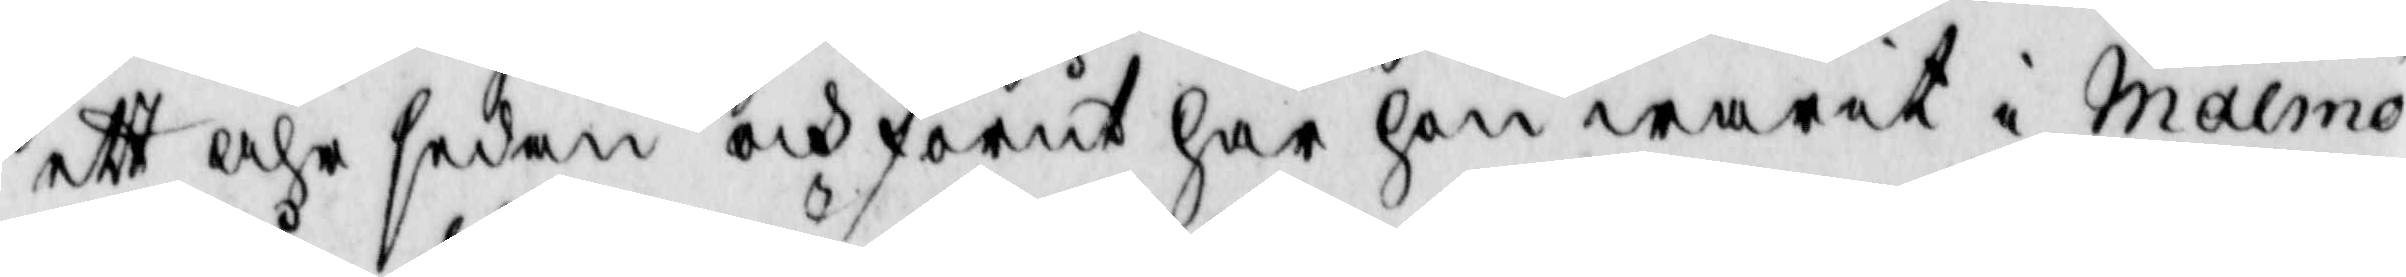ett åhr sedan och förut har hon warit i Malmö
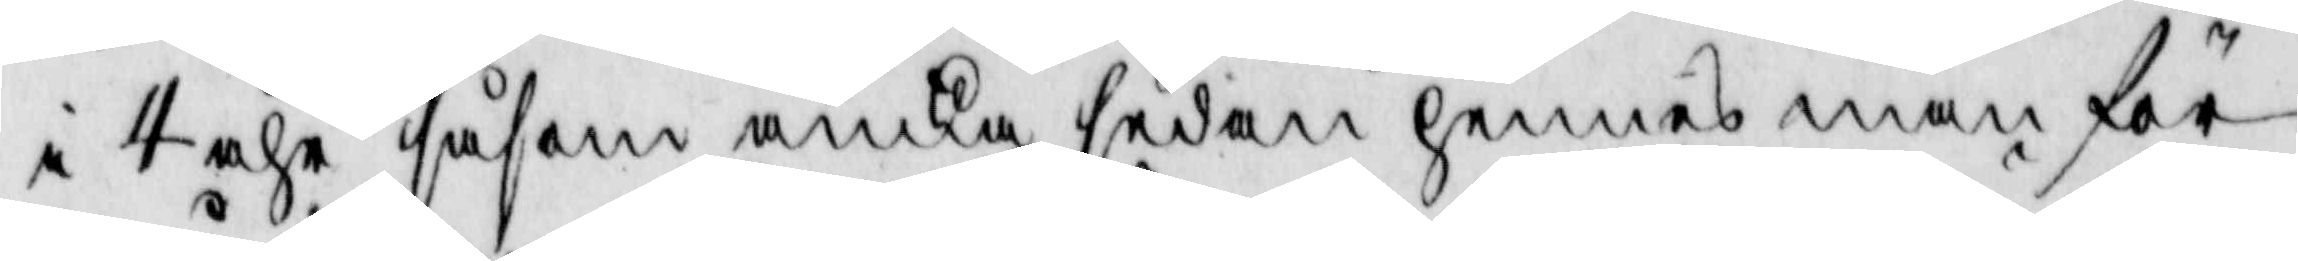i 4 åhr såsom änka sedan hennes man för
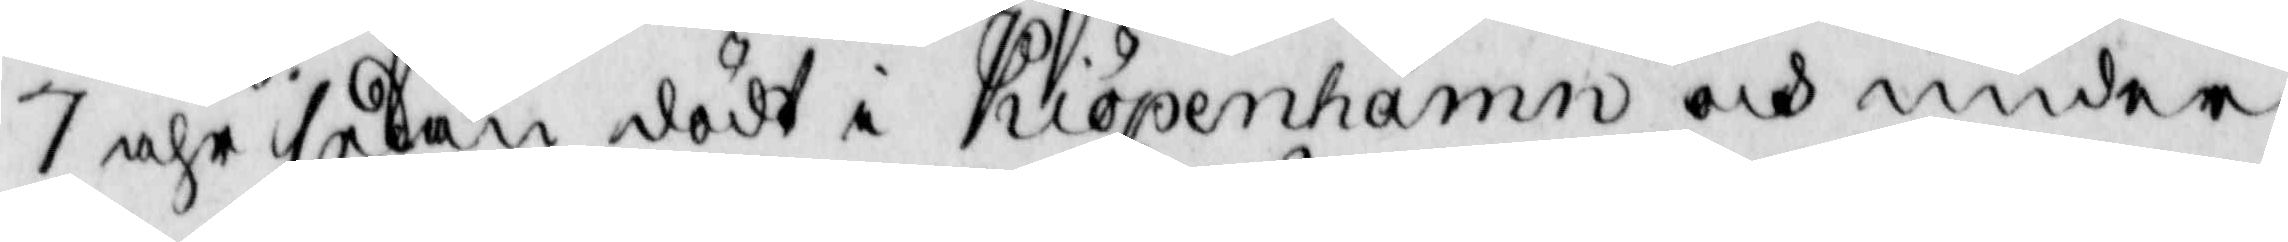7 åhr sedan dödt i Kiöpenhamn och under
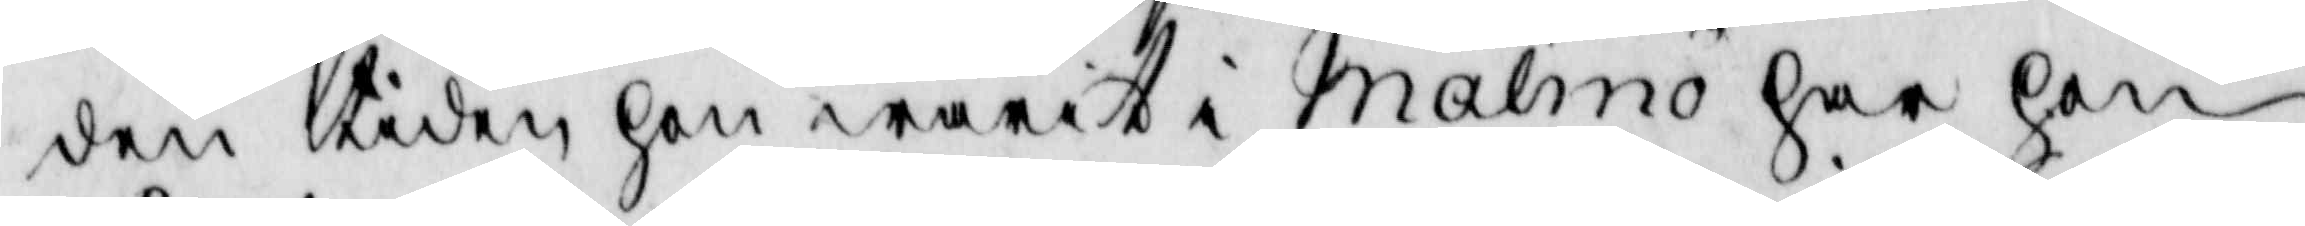den tiden hon warit i Malmö har hon
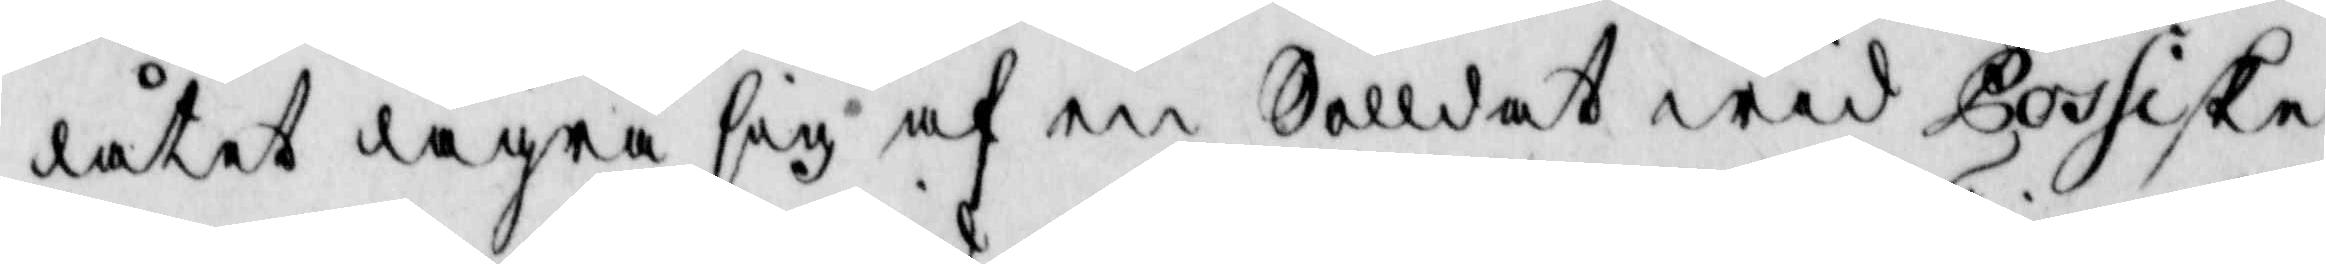låtit lägra sig af en Solldat wid Possiske
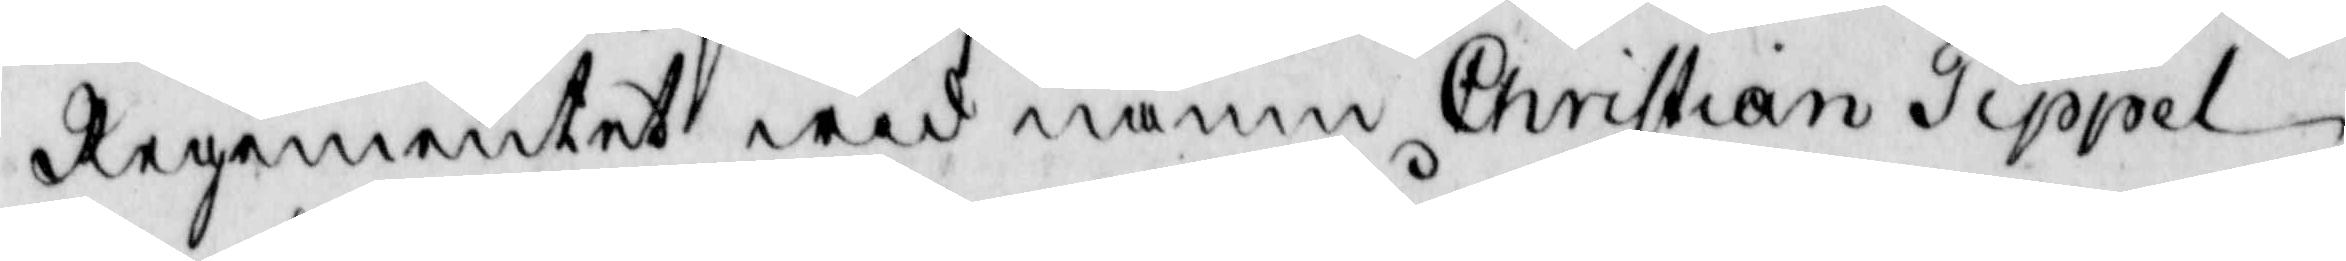Regementet wid namn Christian Tippel
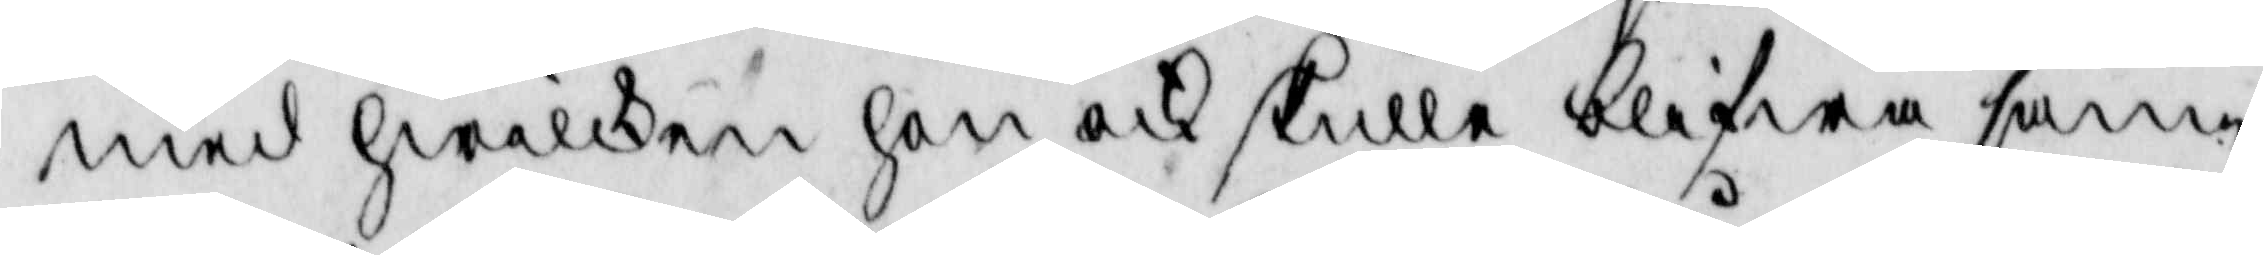med hwilken hon ocj skulle blifwa sam¬
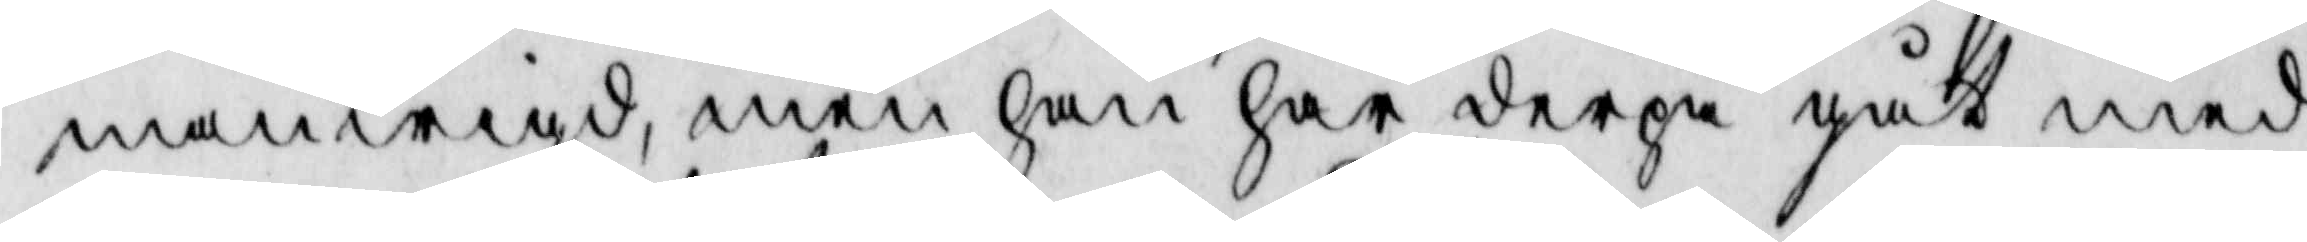manwigd, men han har derpå gått med 
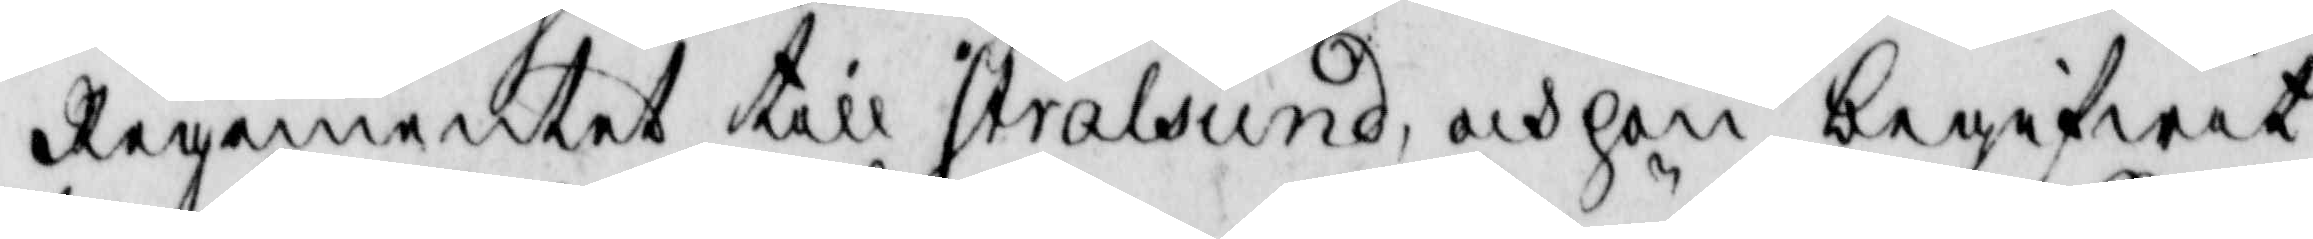Regementet till Stralsund, och hon begifwit
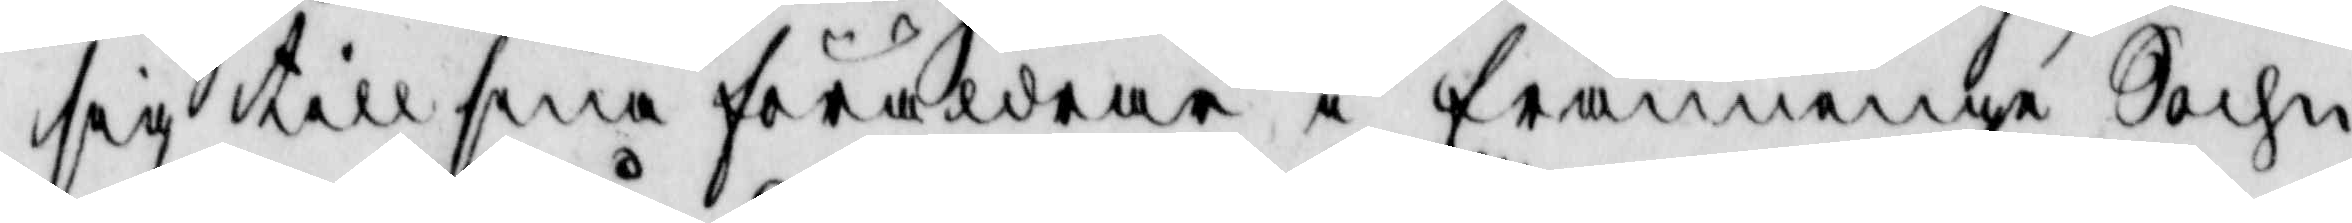sig till sina föräldrar i främminge Sochn,
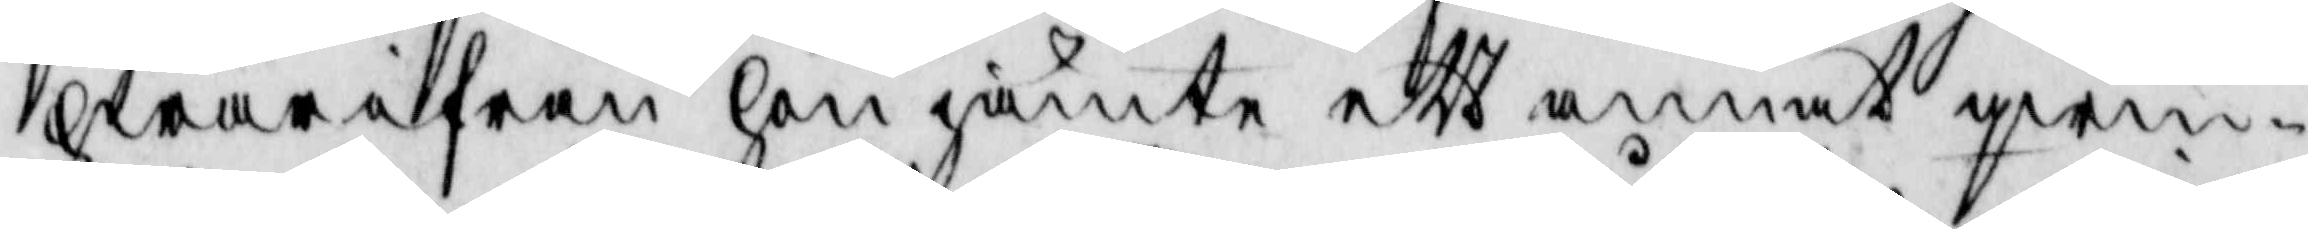hwarifrån hon jämte ett annat qwinn¬
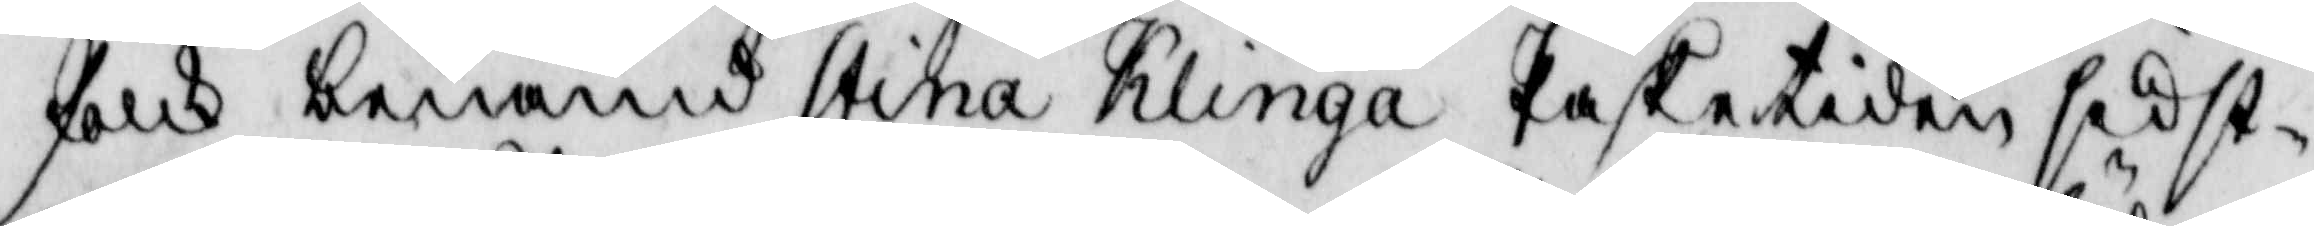folk benämd Stina Klinga Påsketiden sidst¬
